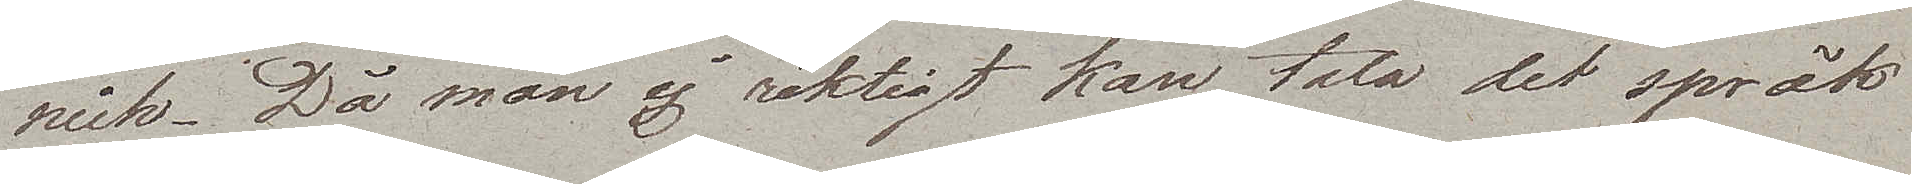rick. Då man ej riktigt kan tala det språk
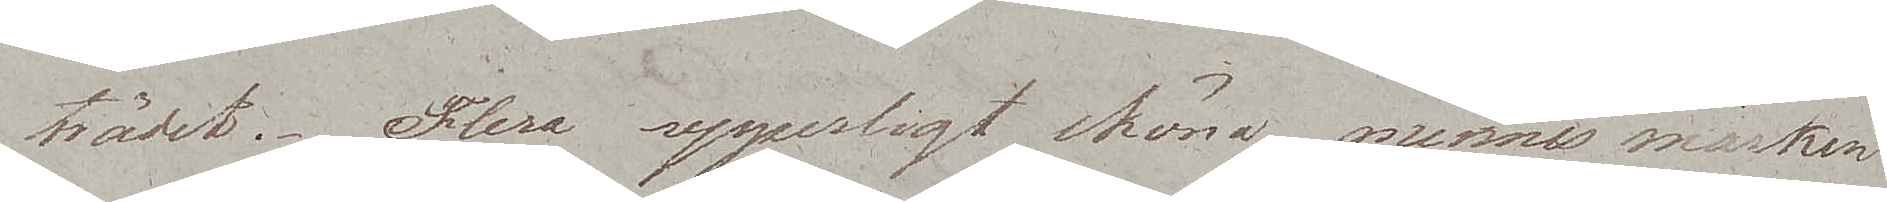trädet. Flera ypperligt sköna minnesmärken
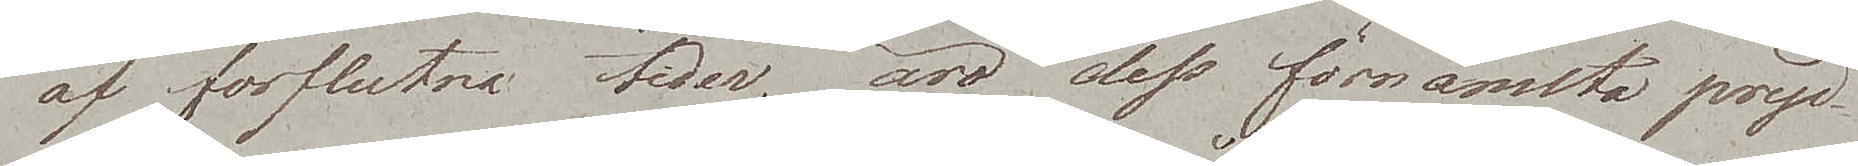af förflutna tider, äro dess förnämsta pryd¬
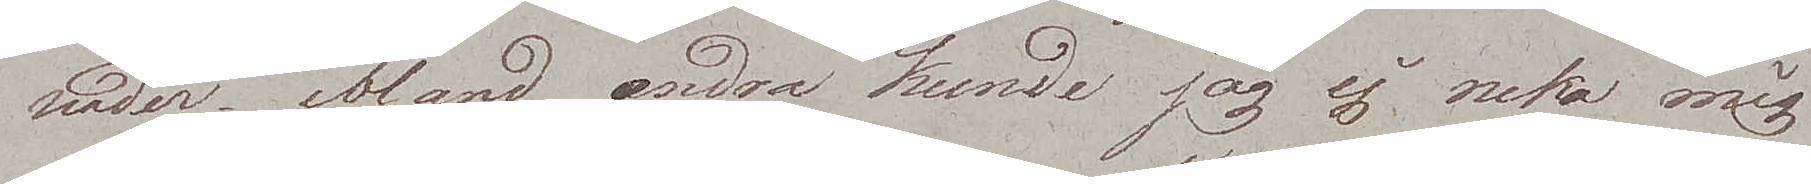nader, ibland andra kunde jag ej neka mig
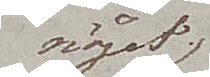nöjet
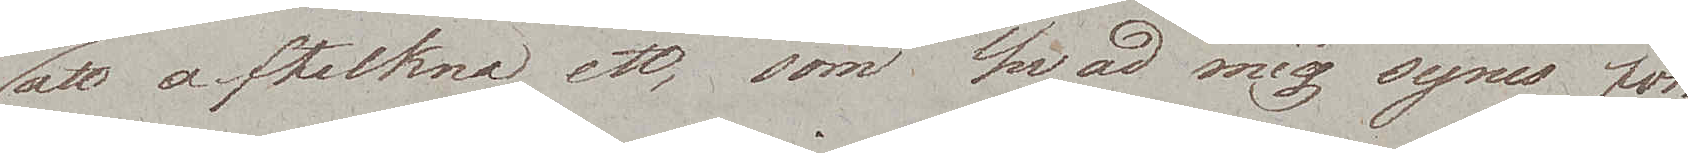att afteckna ett, som hvad mig synes för¬
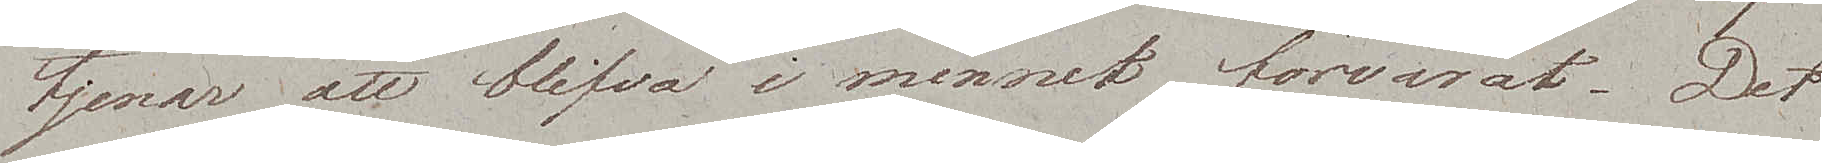tjenar att blifva i minnet förvarat. Det
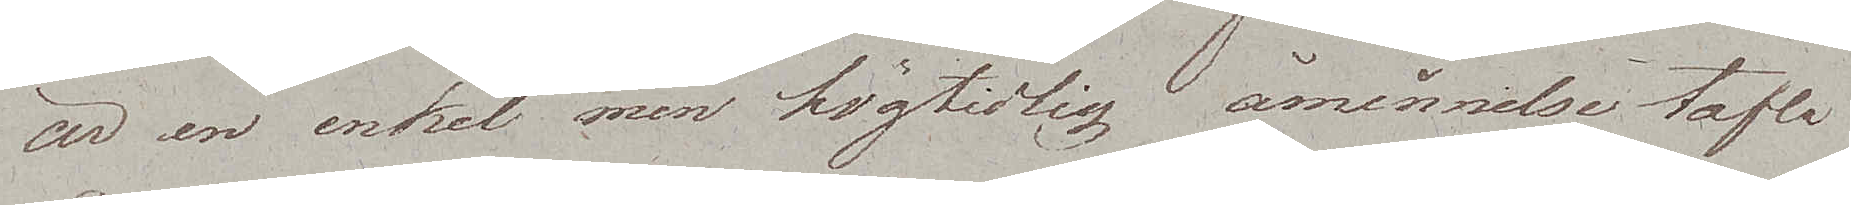är en enkel men högtidlig åminnelsetafla
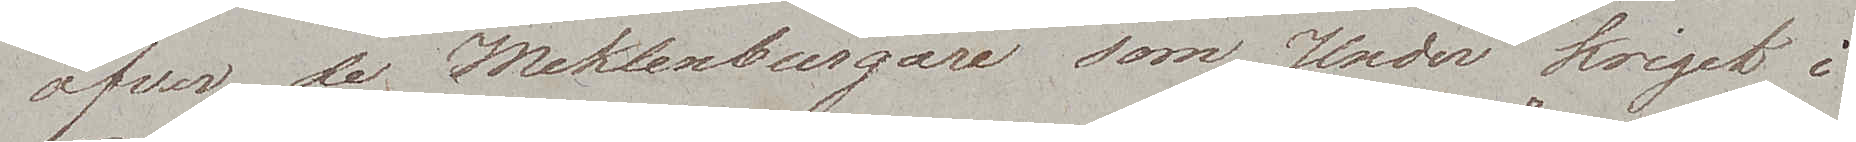öfver de Meklenburgare som Under kriget i
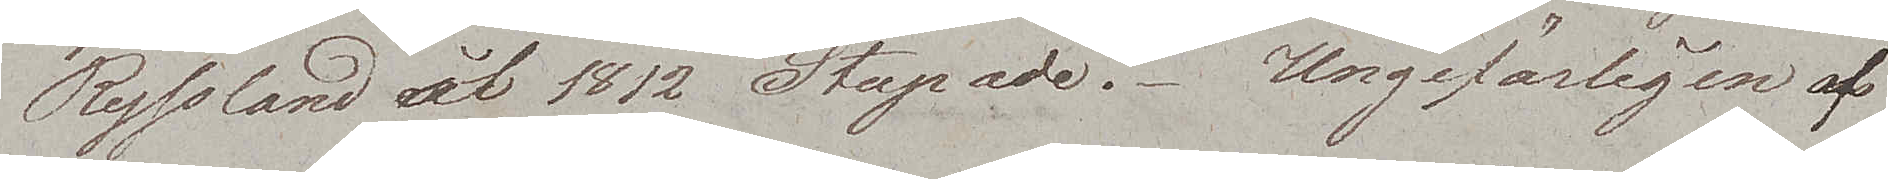Ryssland år 1812 Stupade. Ungefärligen af
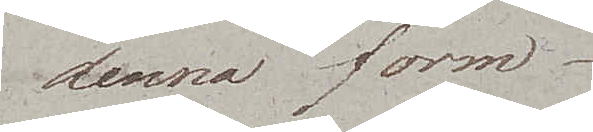denna form.
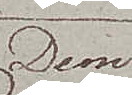Dem
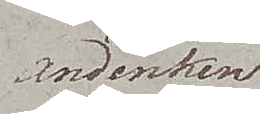Andenken
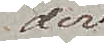der
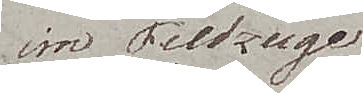im Feldzuge
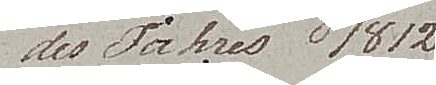des Jahres 1812
